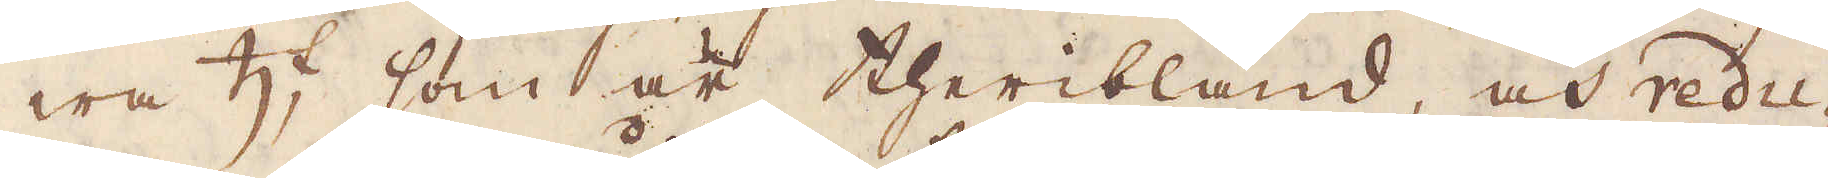wa ♄:t, som är theribland, och redu-
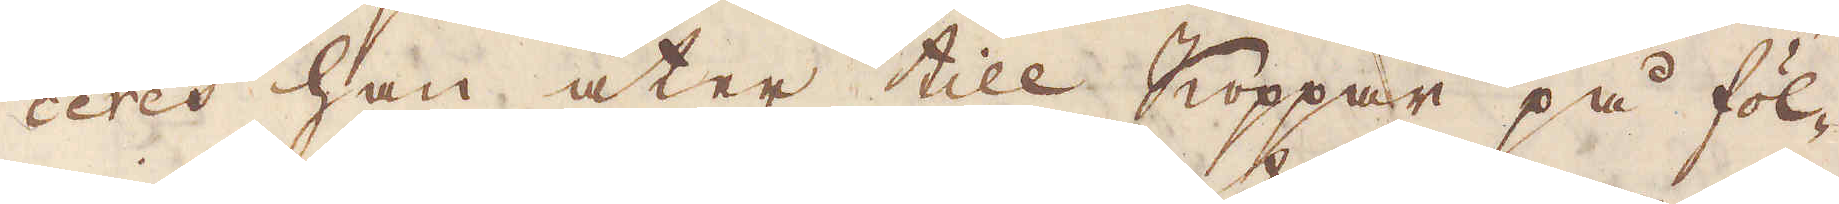ceres han åter till Koppar på föl-
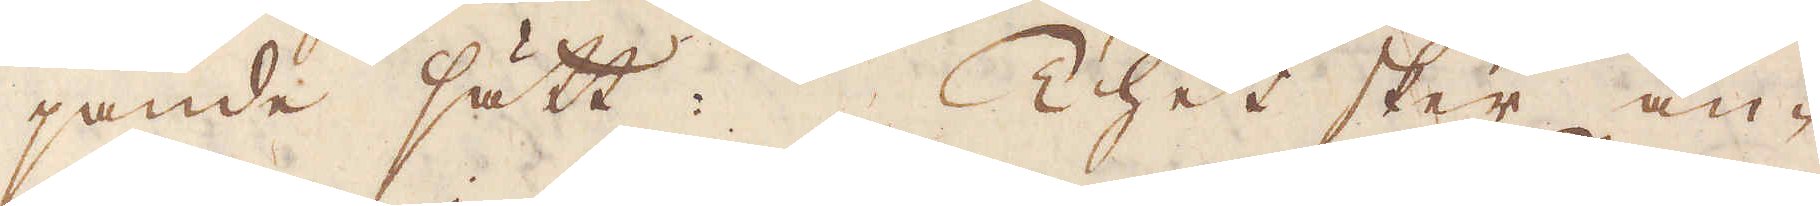jande sätt: Thet sker an-
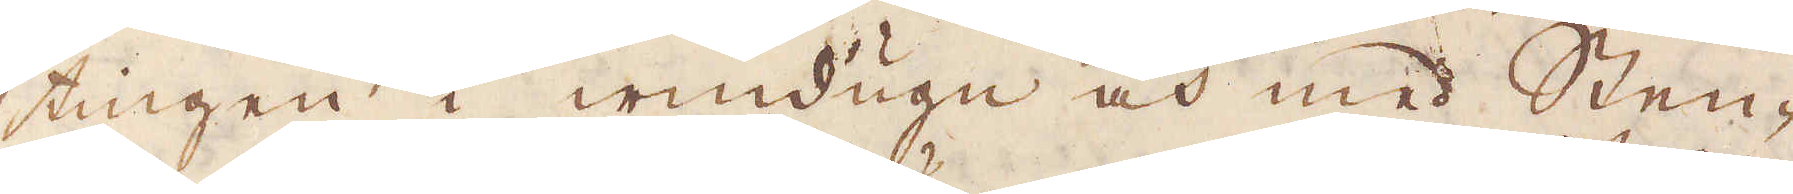tingen i windugn och med Sten-
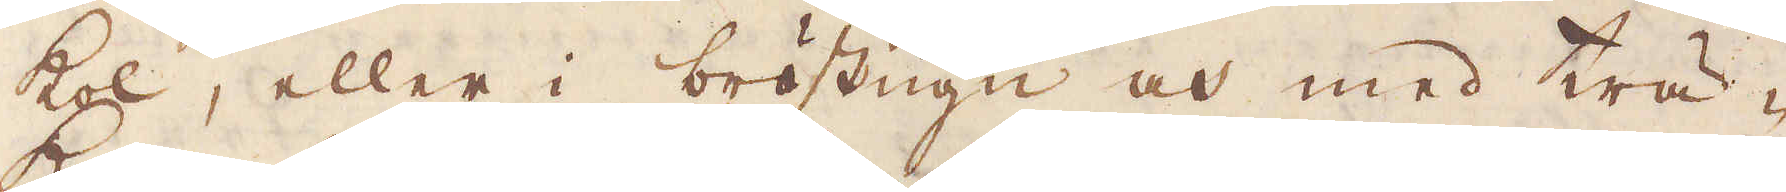kol, eller i bröstugn och med trä-
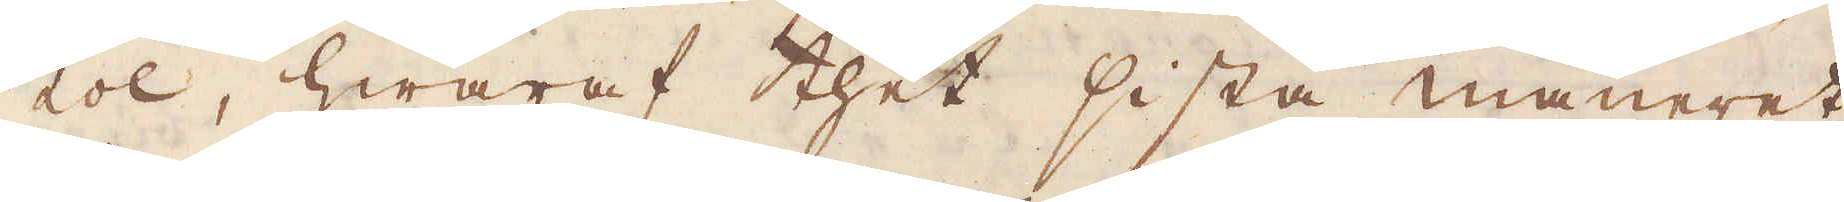kol, hwaraf thet sista maneret
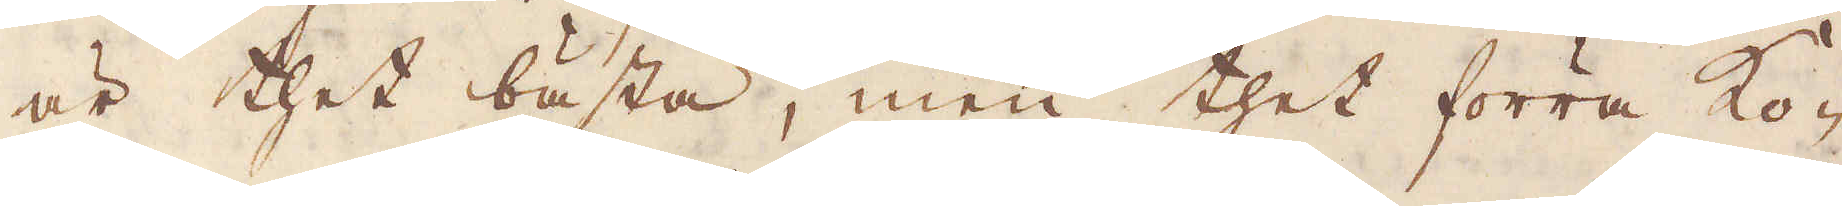är thet bästa, men thet förra ko-
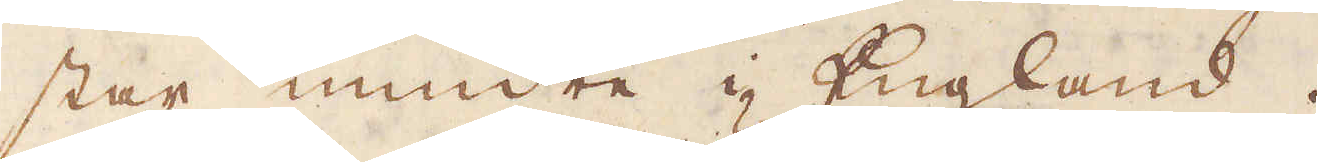star mindre i England.
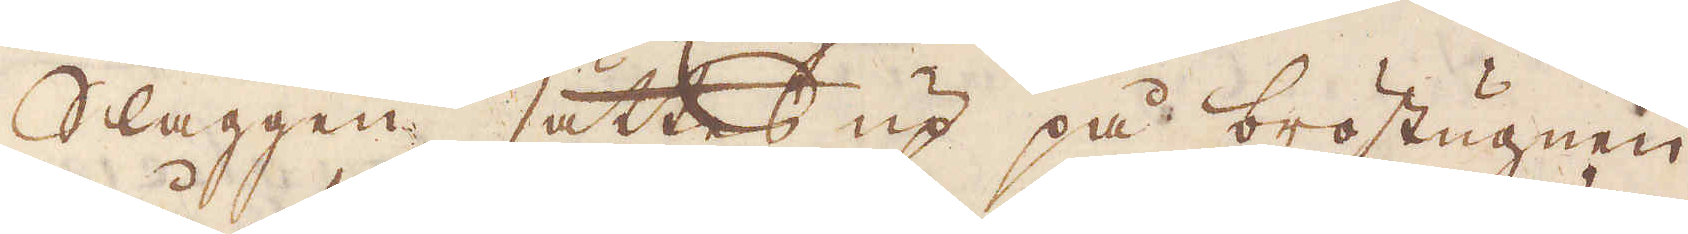Slaggen sättes up på bröstugnen
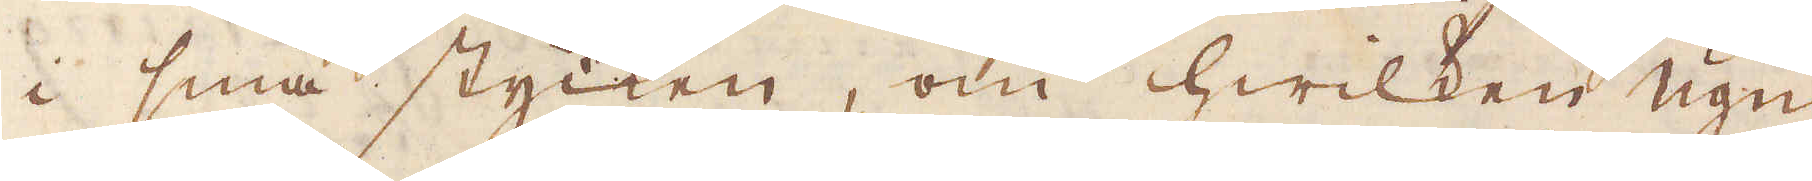i små stycken, om hwilken ugn
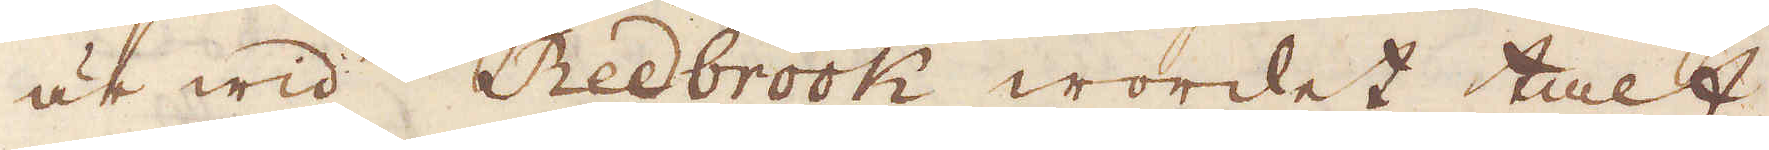är wid Redbrook wordet talt,
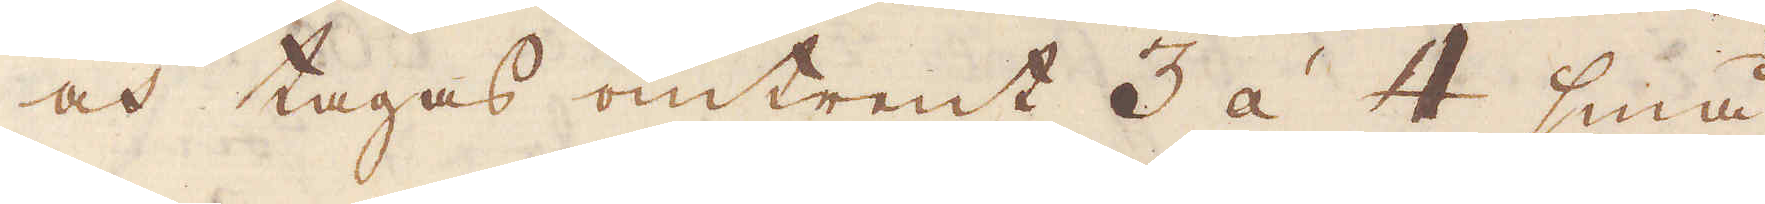och tages omtrent 3 à 4 små
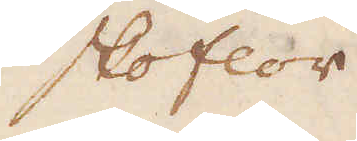skoflor
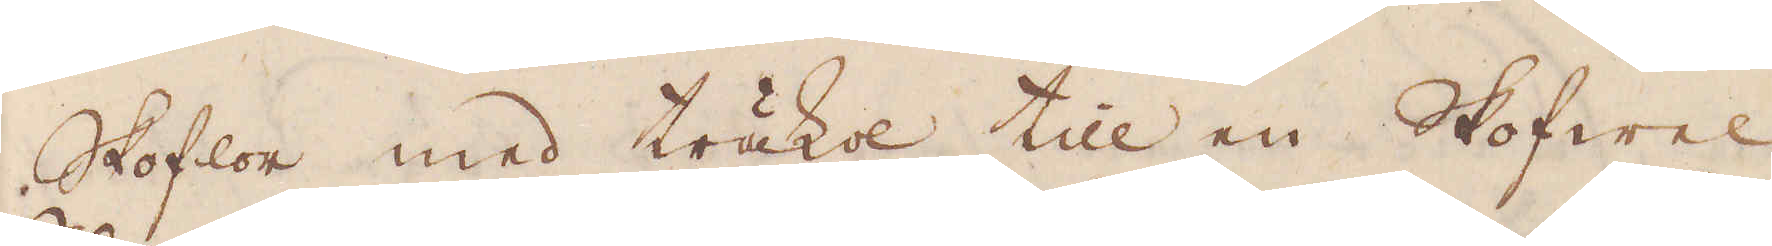Skoflor med träkol till en Skofwel
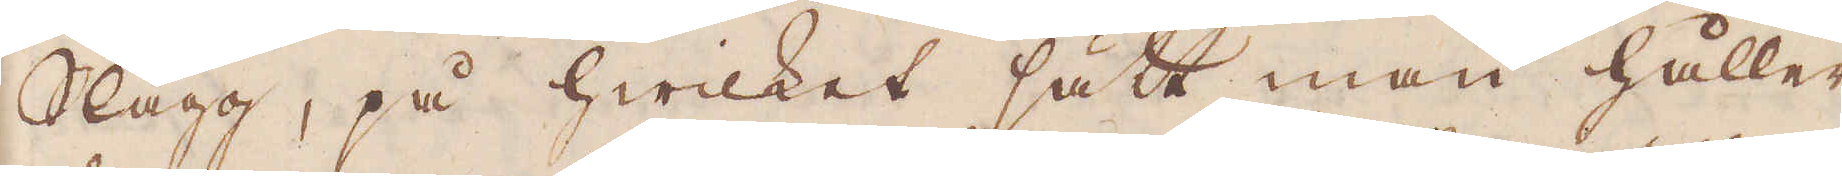Slagg, på hwilket sätt man håller
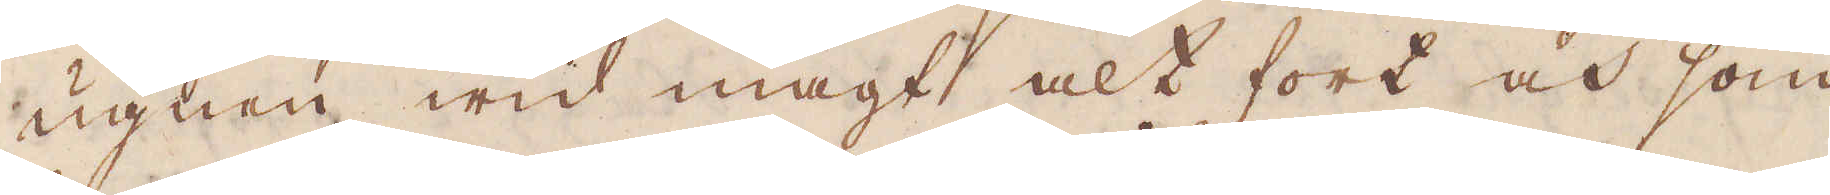ugnen wid magt alt fort och som
